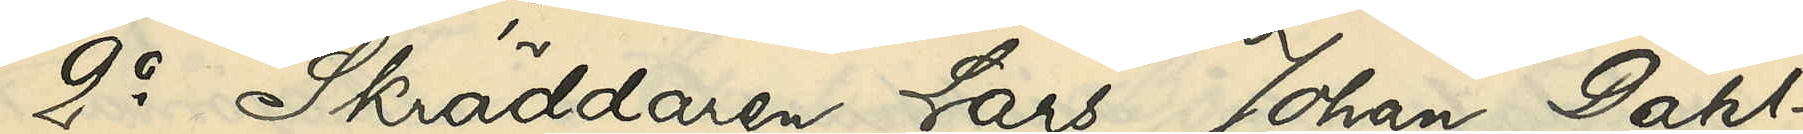2o Skräddaren Lars Johan Dahl¬
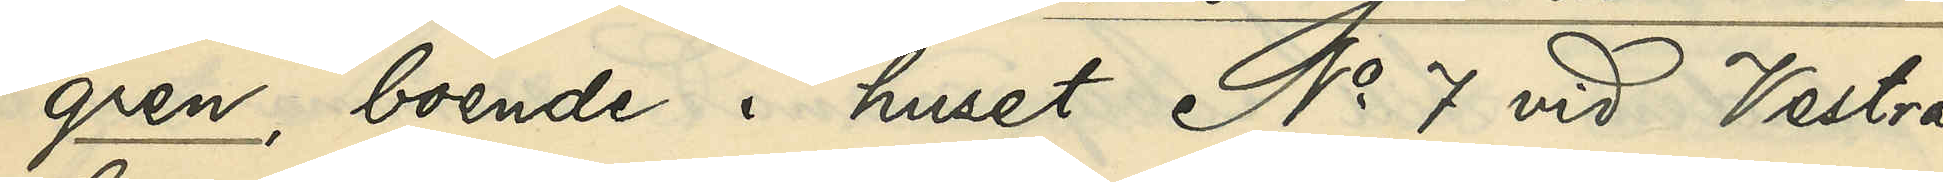gren, boende i huset No vid Vestra
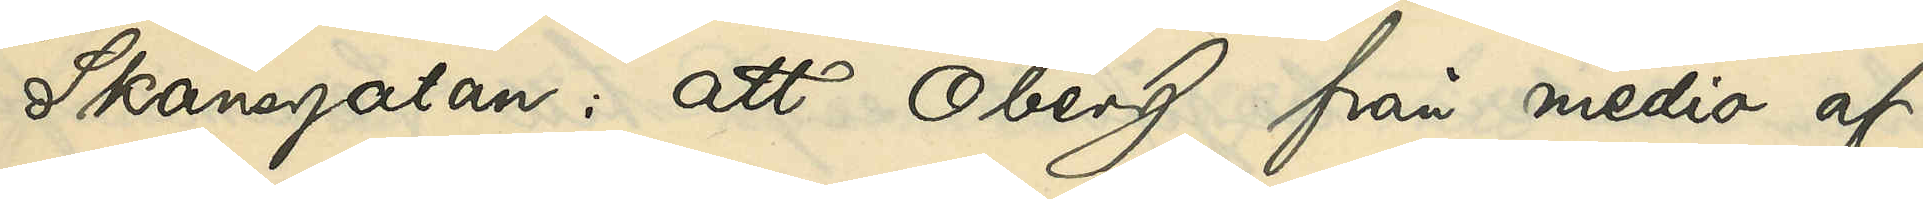Skansgatan: att Öberg från medio af
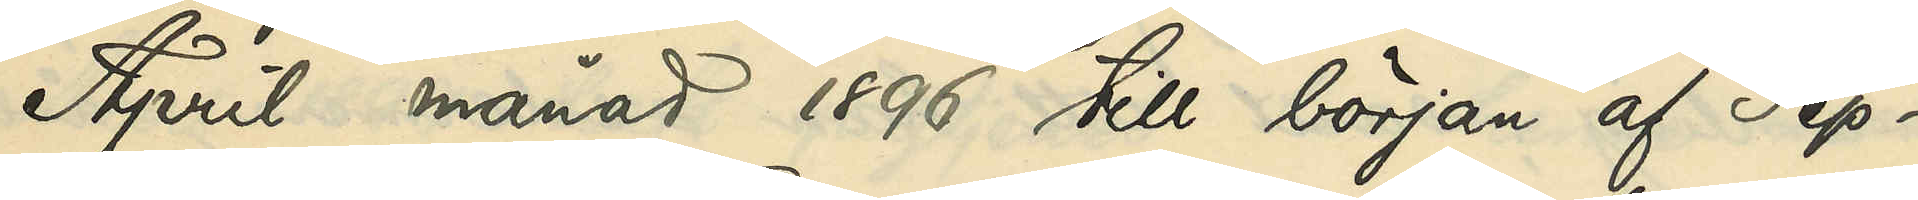April månad 1896 till början af Sep¬
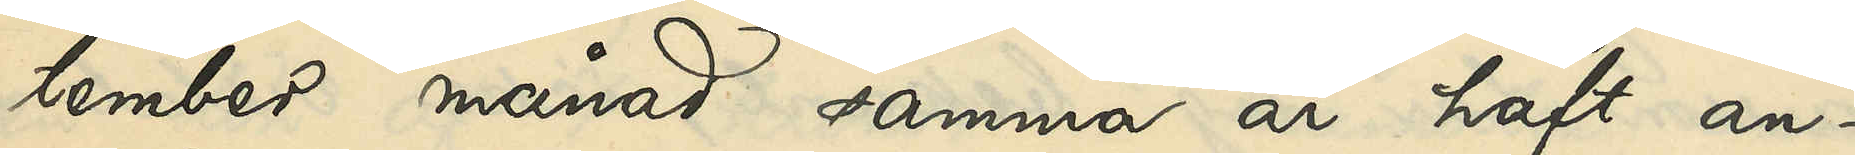tember månad samma år haft an¬
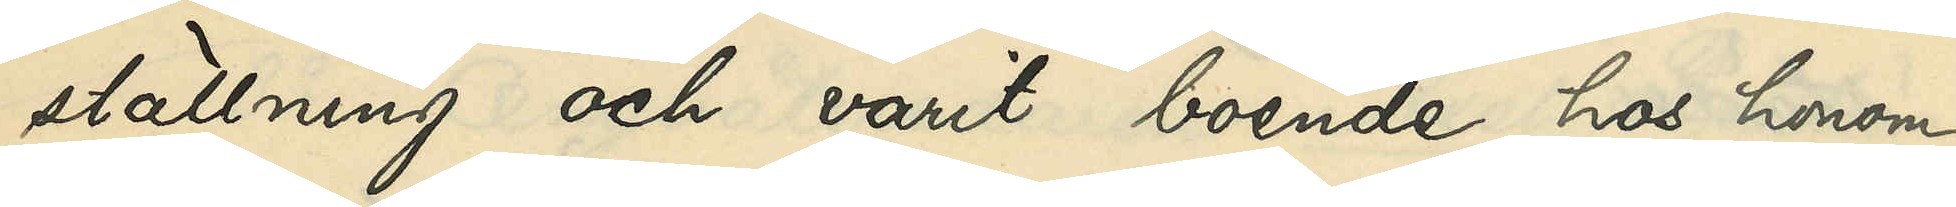ställning och hvarit boende hos honom; 
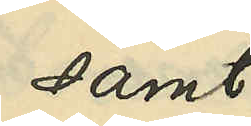samt
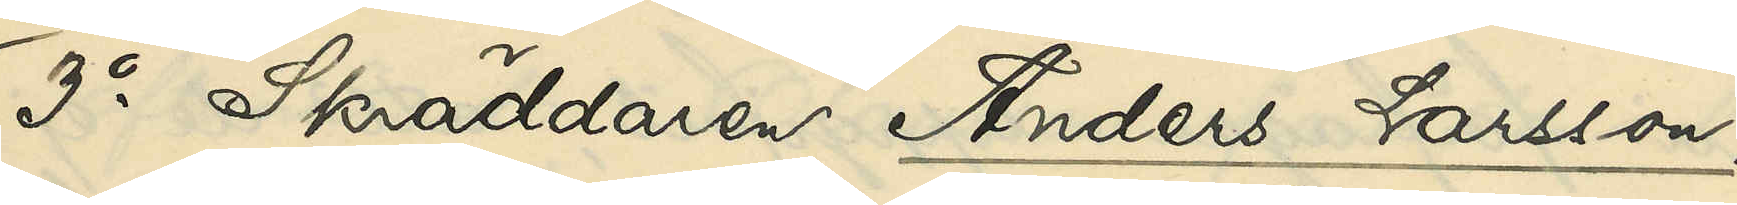3o Skräddaren Anders Larsson,
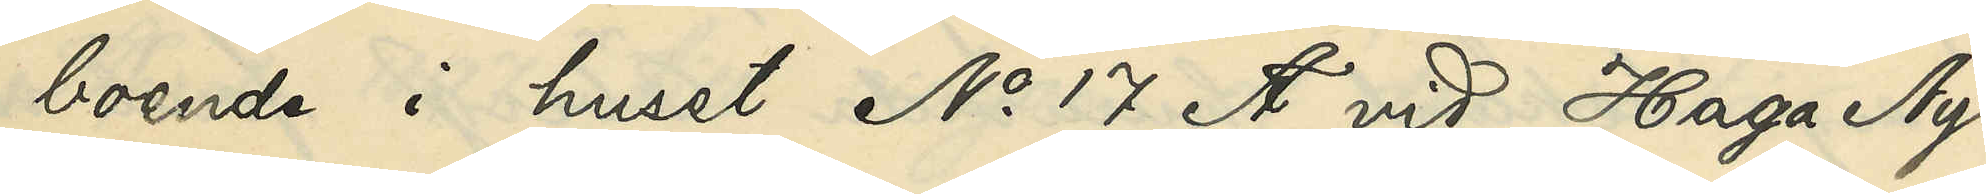boende i huset No 17 A vid Haga Ny¬
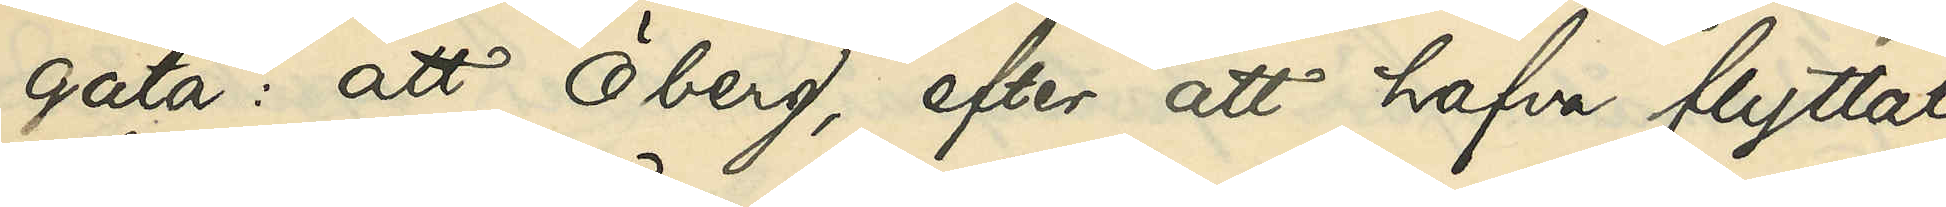gata: att Öberg, efter att hafva flyttat
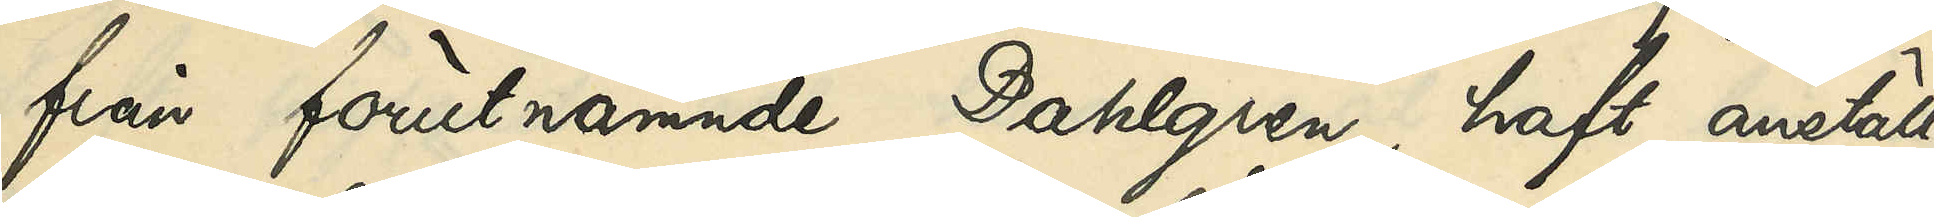från förutnämnde Dahlgren, haft anställ¬
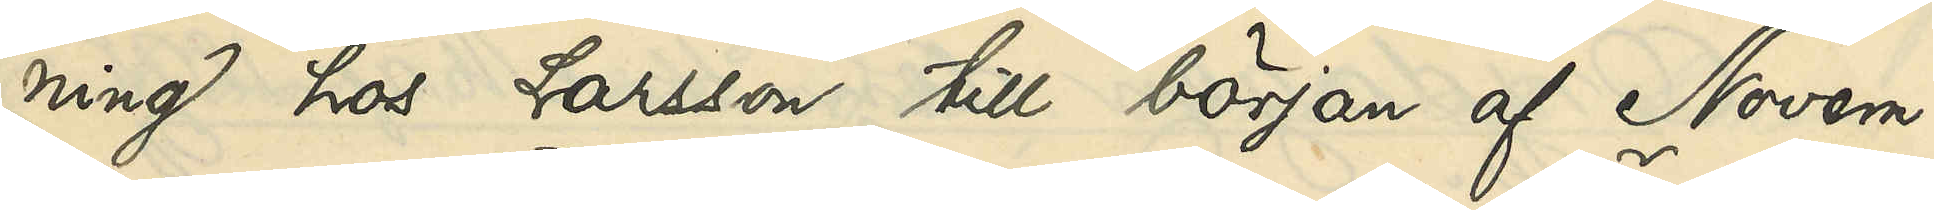ning hos Larsson till början af Novem¬
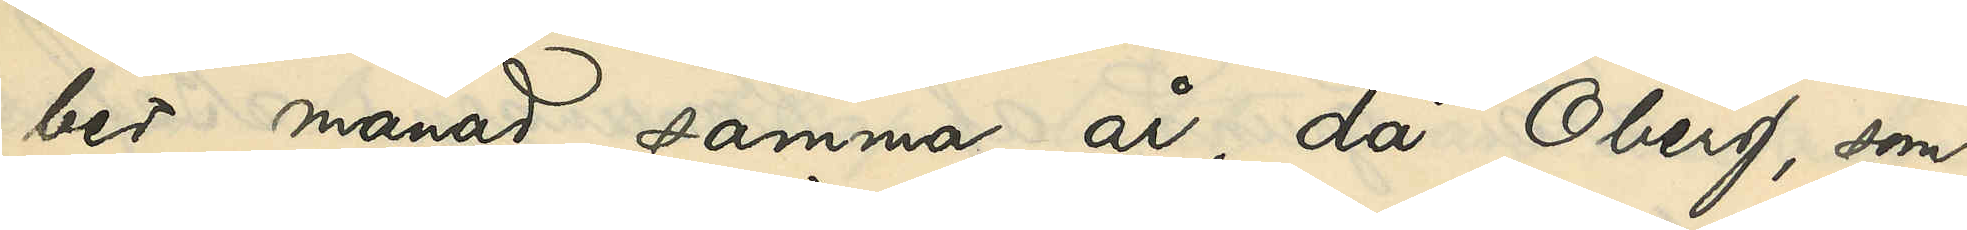ber månad samma år, då Öberg, som
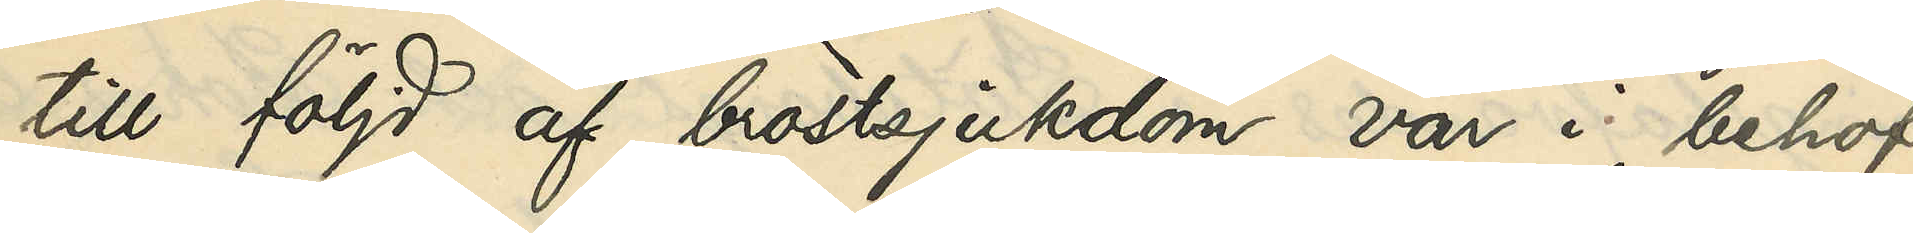till följd af bröstsjukdom var i behof
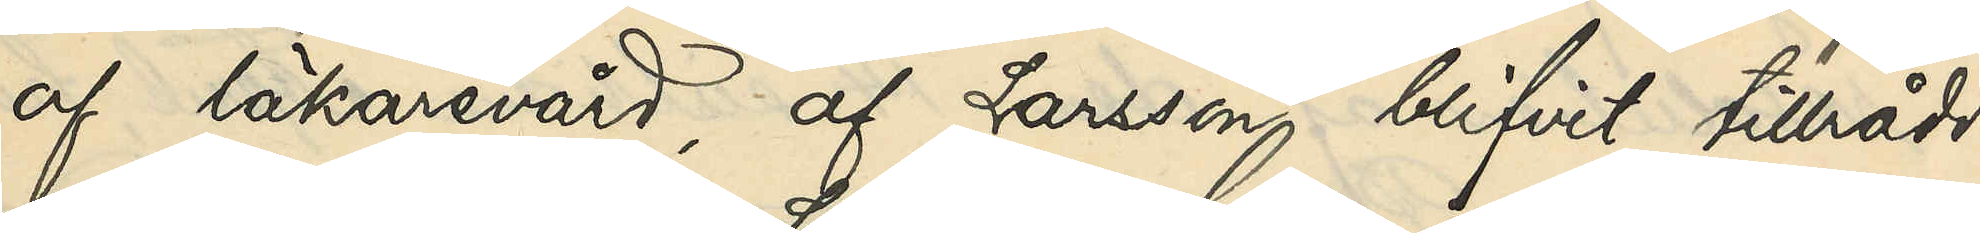af läkarevård, af Larsson blifvit tillrådd
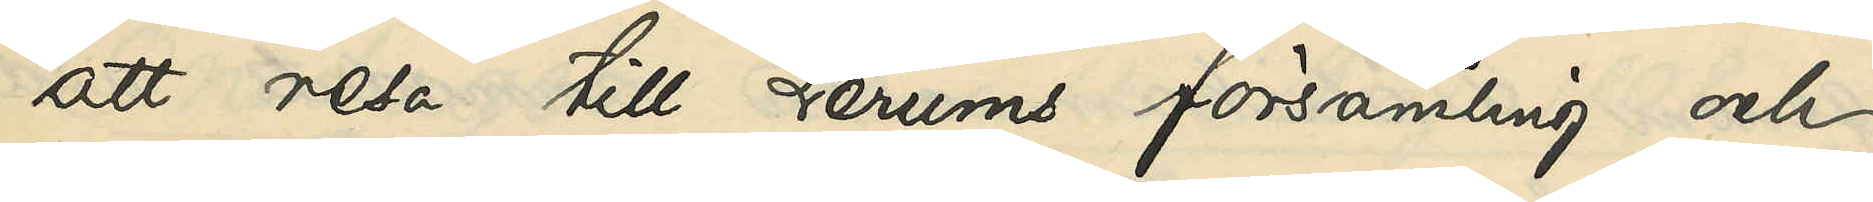att resa till Lerums församling och
